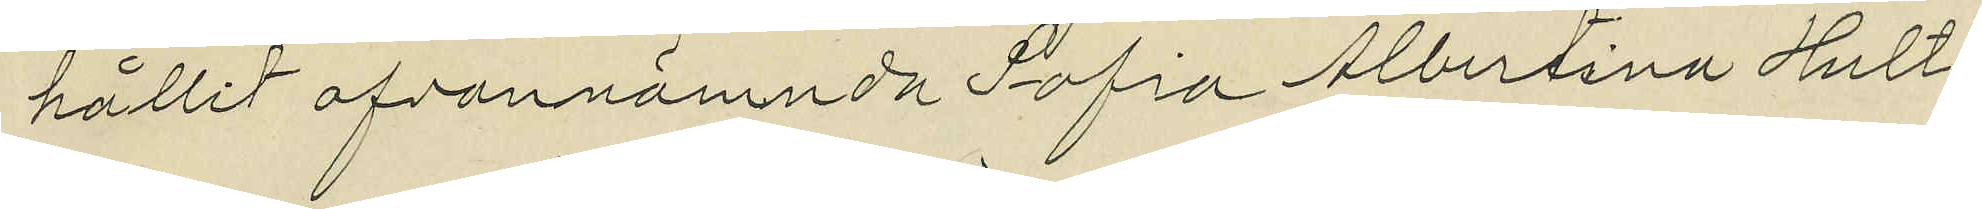hållit ofvannämnda Sofia Albertina Hult¬
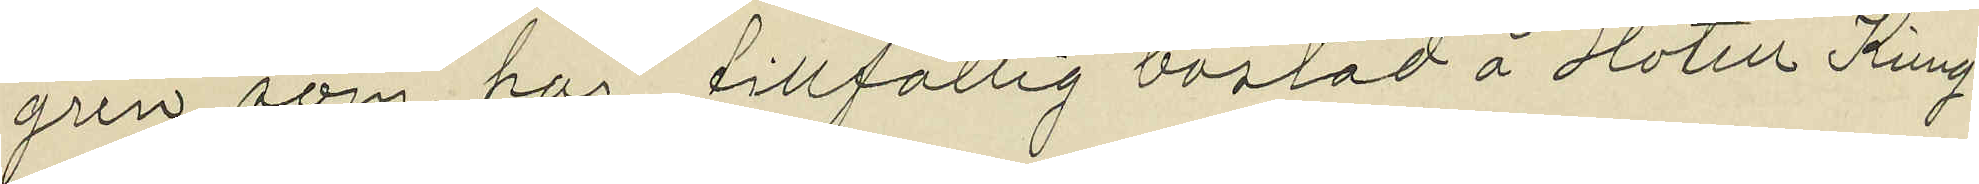gren, som har tillfällig bostad å Hotell Kung
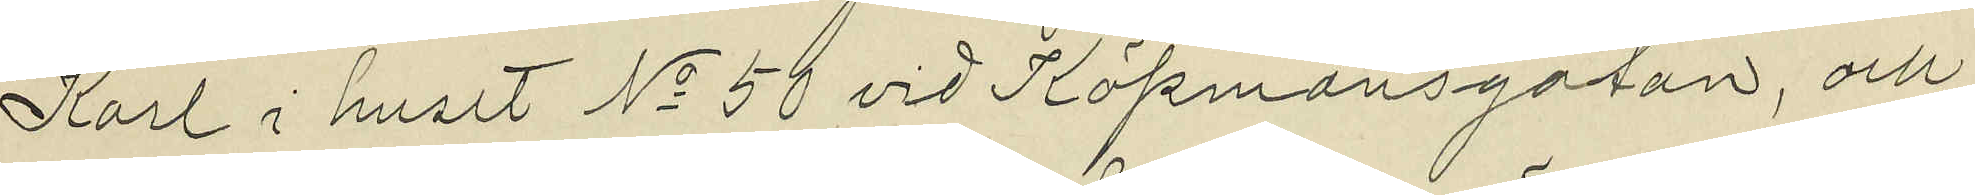Karl i huset No 50 vid Köpmansgatan, och
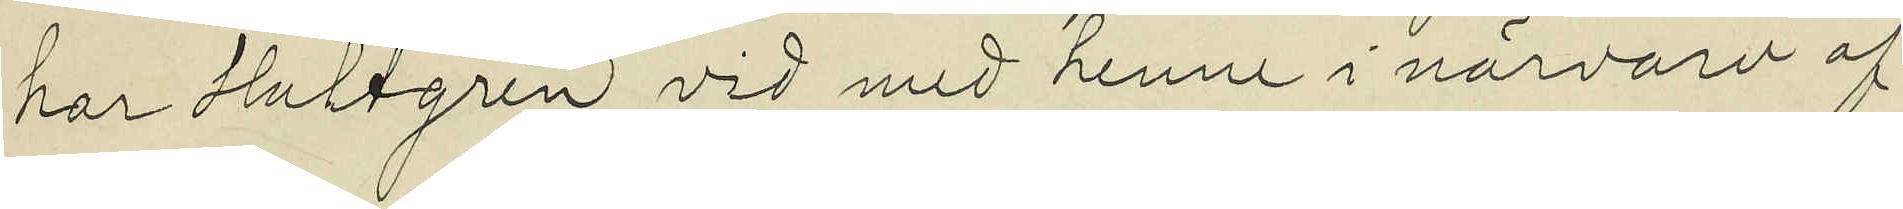har Hultgren vid med henne i närvaro af
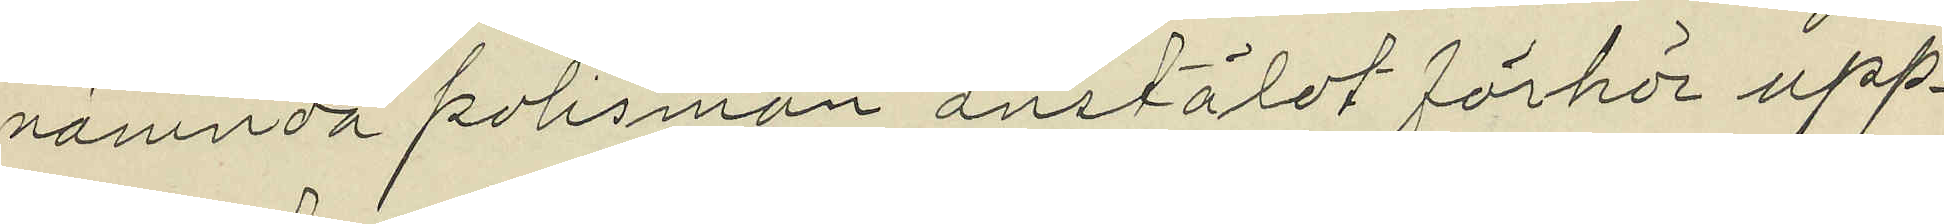nämnda polismän anstäldt förhör upp¬
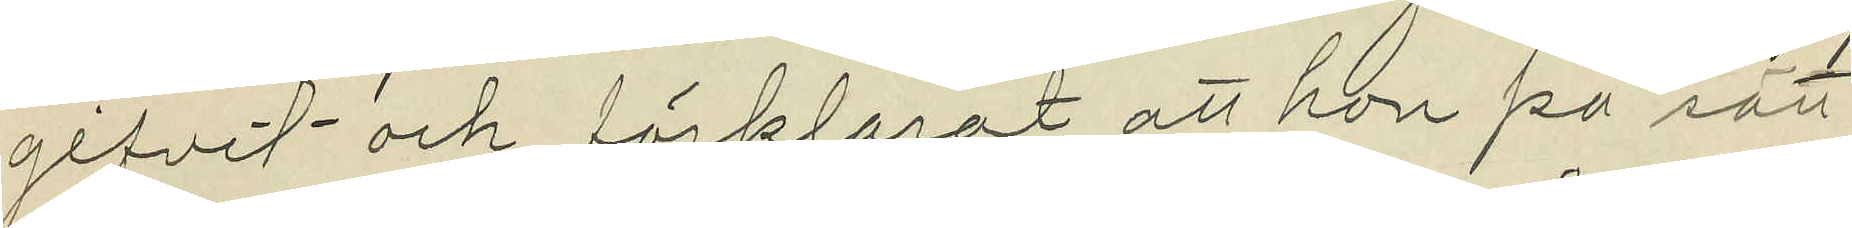gifvit och förklarat, att hon på sätt
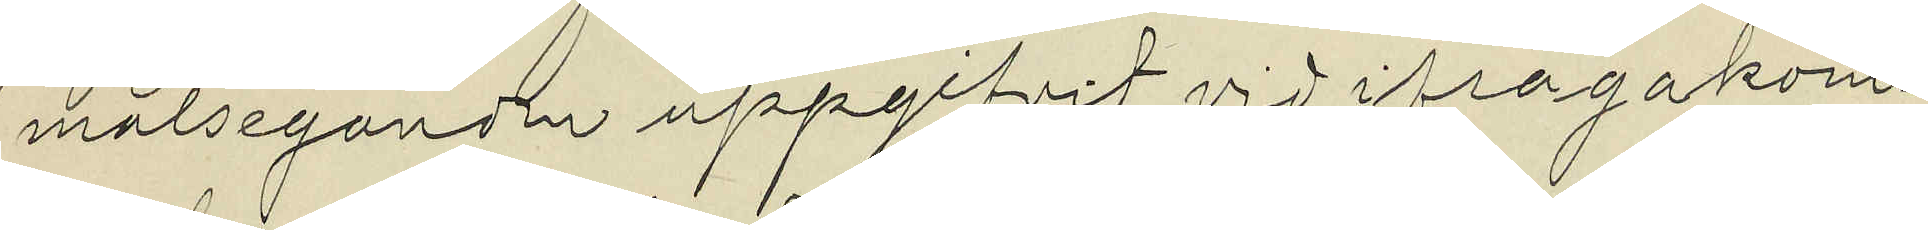målseganden uppgifvit vid ifrågakom¬
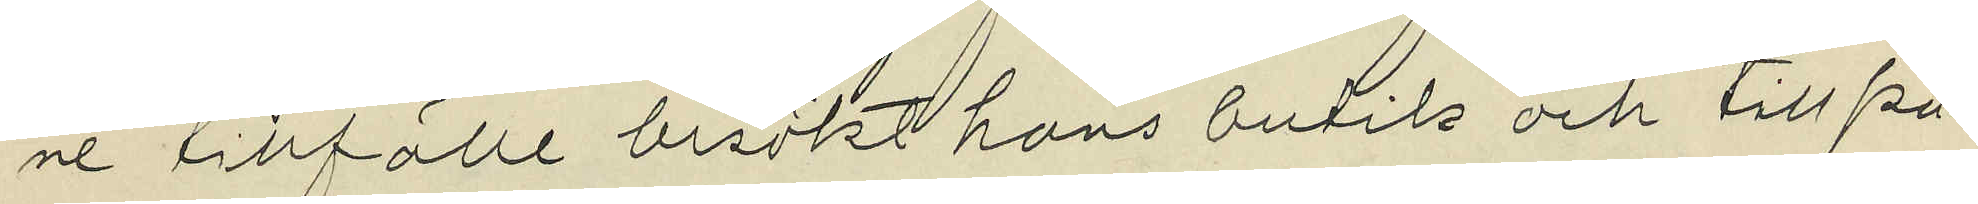ne tillfälle besökt hans butik och till på¬
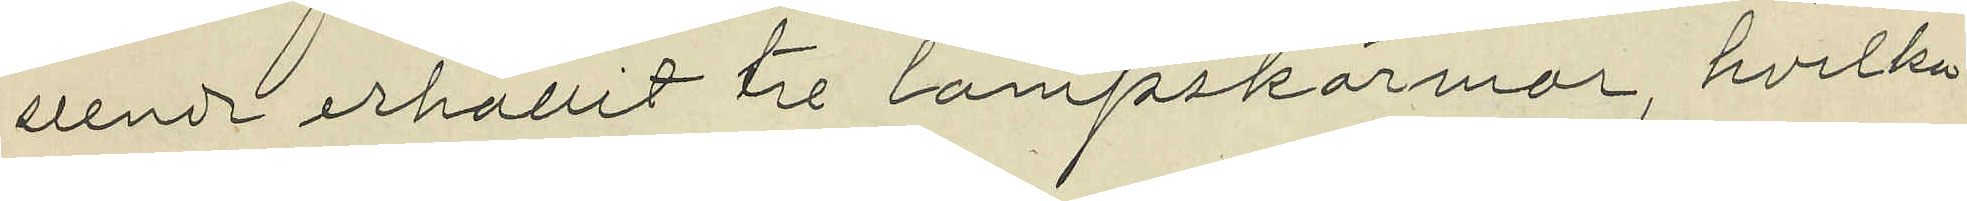seende erhållit tre lampskärmar, hvilka
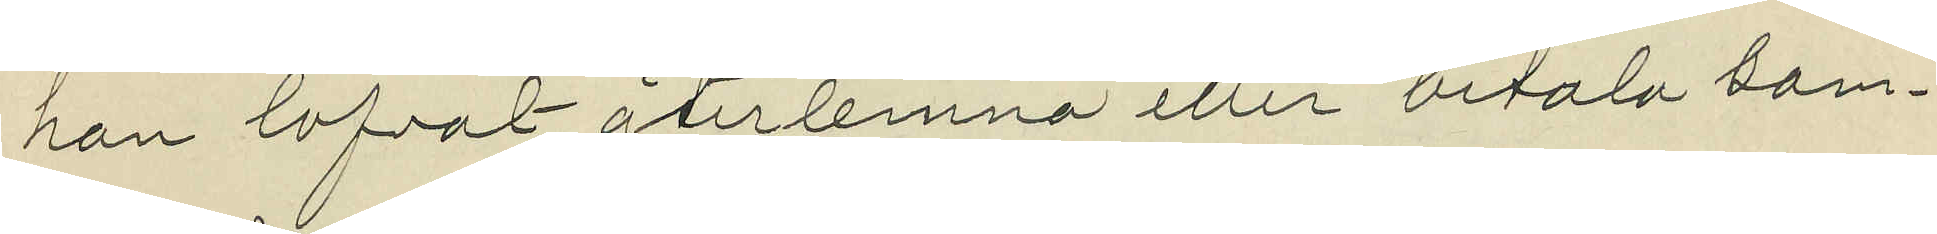hon lofvat återlemna eller betala sam¬
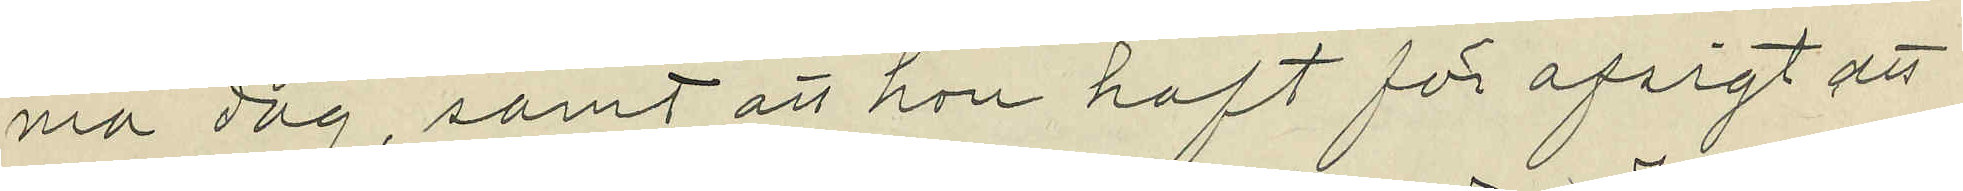ma dag, samt att hon haft för afsigt att
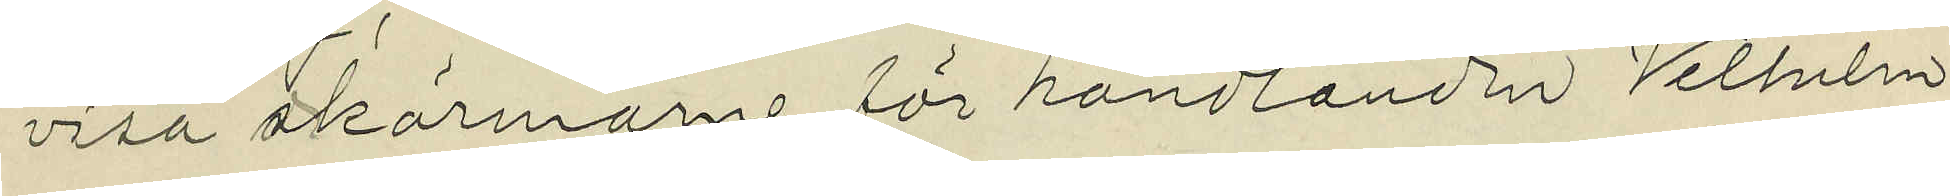visa skärmarne för handlanden Vilhelm
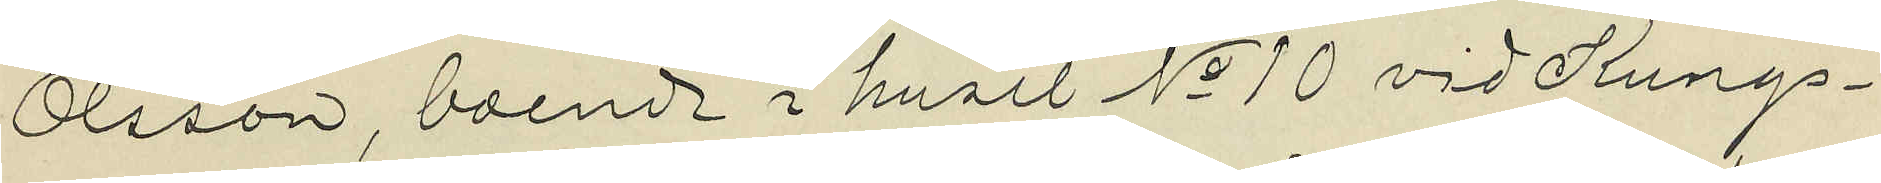Olsson, boende i huset No 10 vid Kungs¬
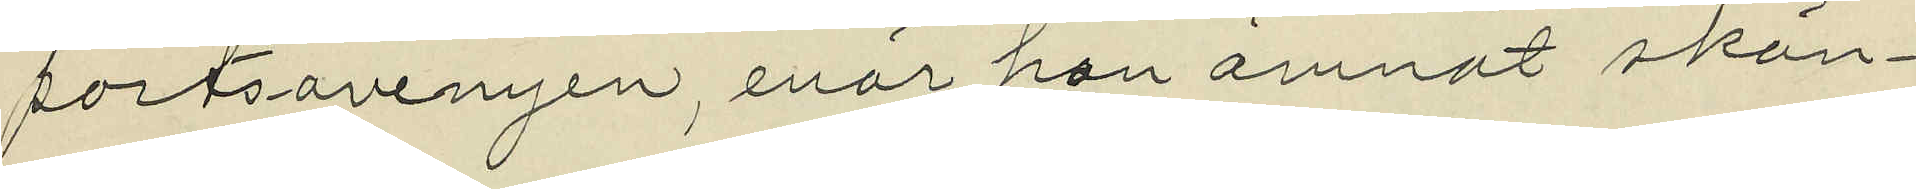portsavenyen, enär hon ämnat skän¬
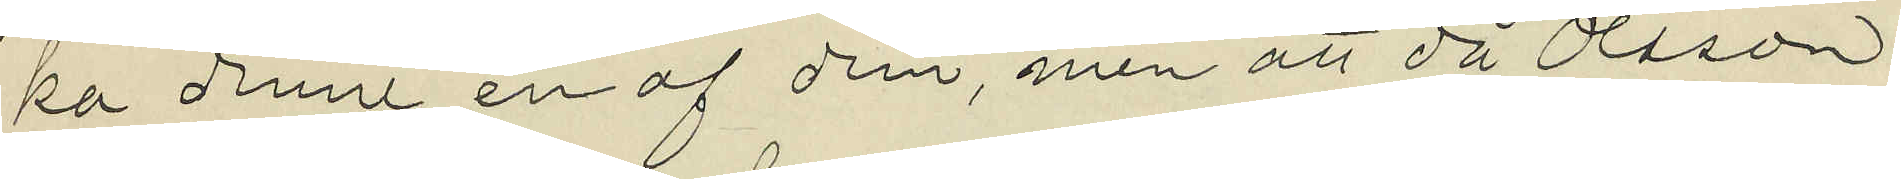ka denne en af dem, men att då Olsson
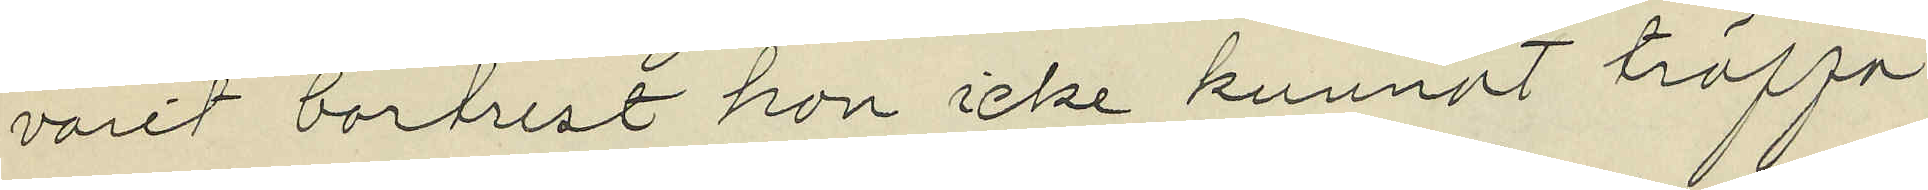varit bortrest hon icke kunnat träffa
